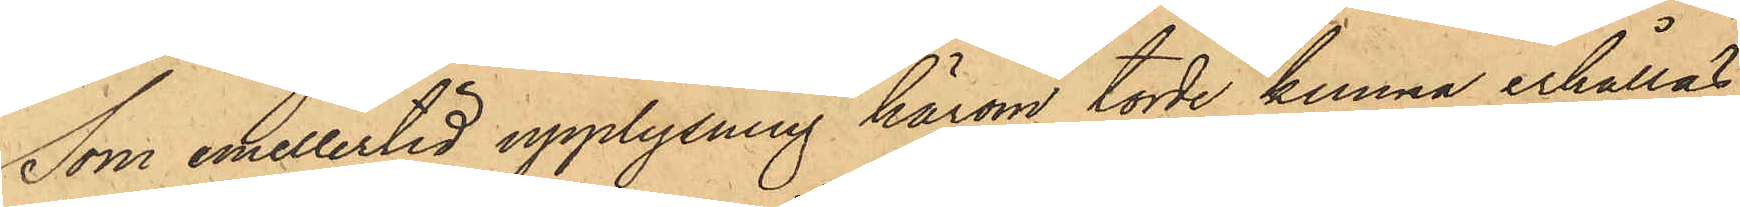Som emellertid upplysning härom torde kunna erhållas,
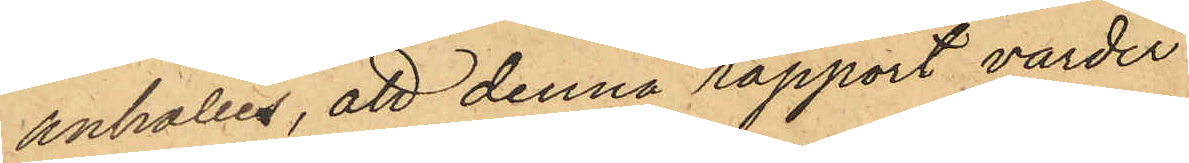anhålles, att denna rapport varder
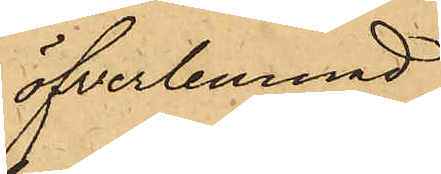öfverlemnad
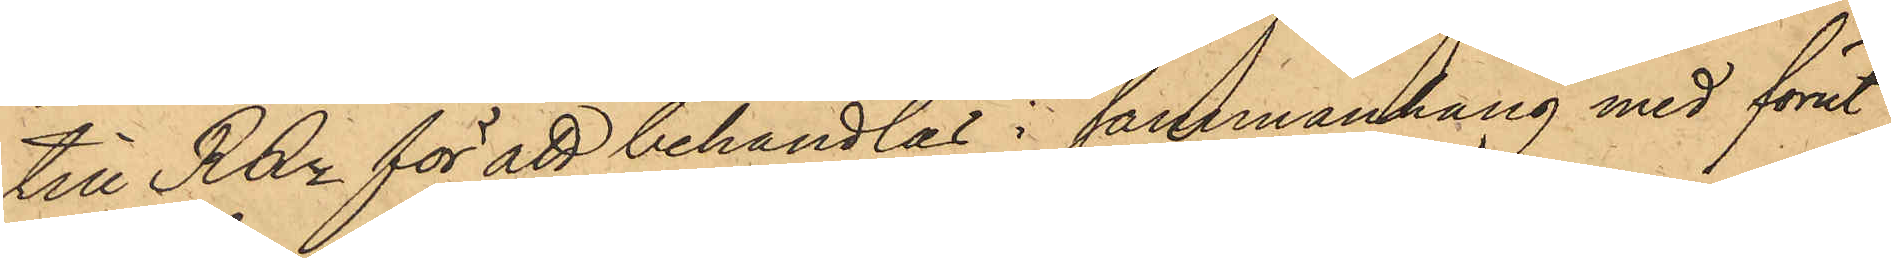till RRn för att behandlas i sammanhang med förut
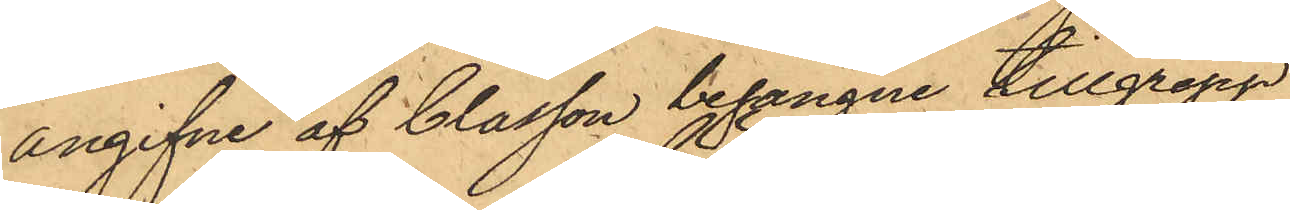angifne af Classon begångne tillgrepp.
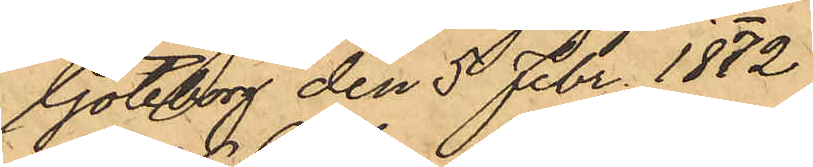Göteborg den 5 Febr. 1872
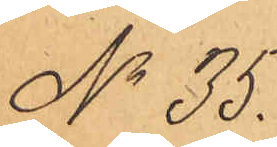No 35.
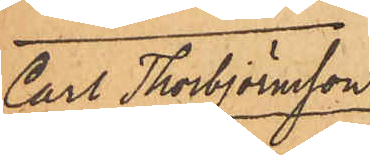Carl Thorbjörnsson
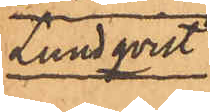Lundqvist
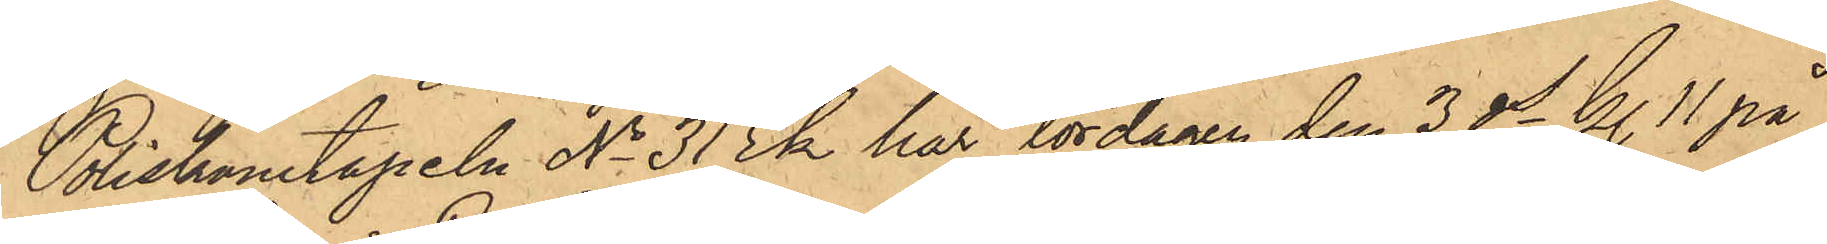Poliskonstapeln No 31 Ek har lördagen den 3 ds kl. 11 på
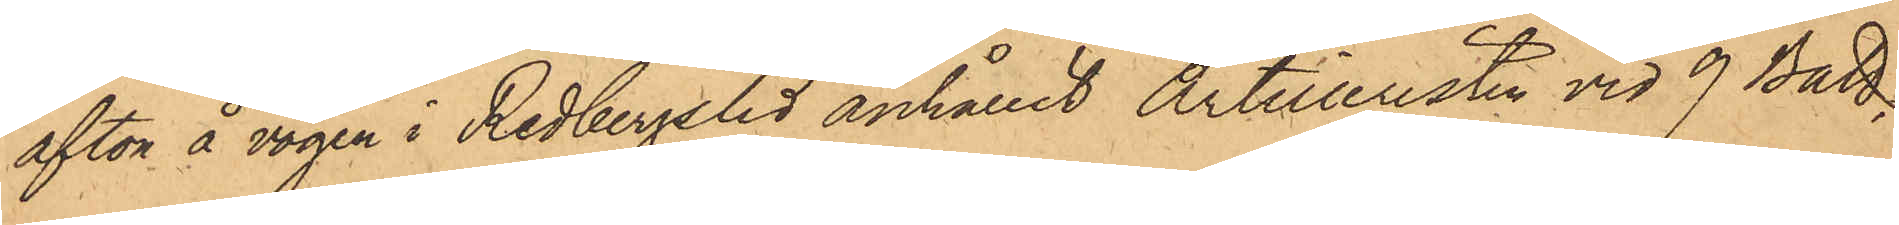afton å vägen i Redbergslid anhållit Artilleristen vid 9 Batt.
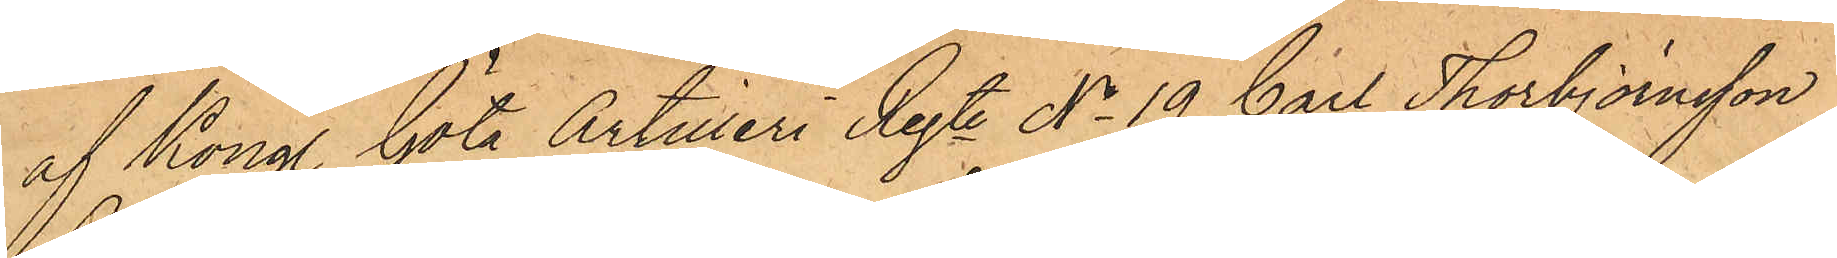af Kongl. Göta Artilleri Regte No 19 Carl Thorbjörnsson
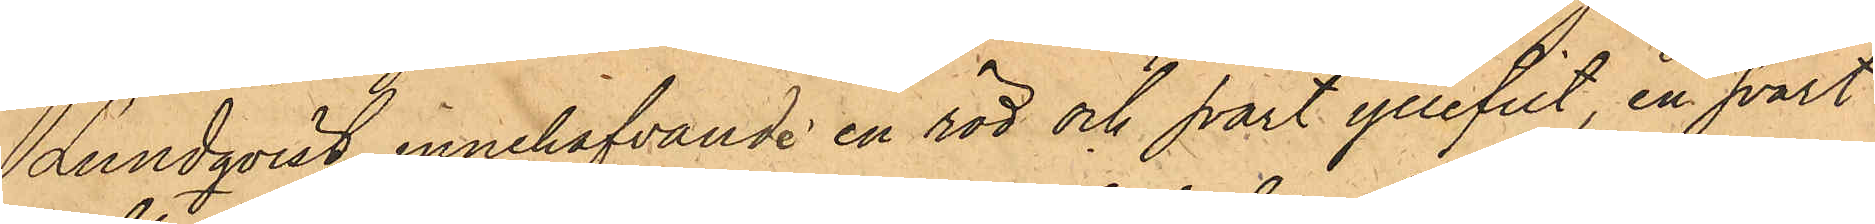Lundqvist, innehafvande en röd och svart yllefilt, en svart
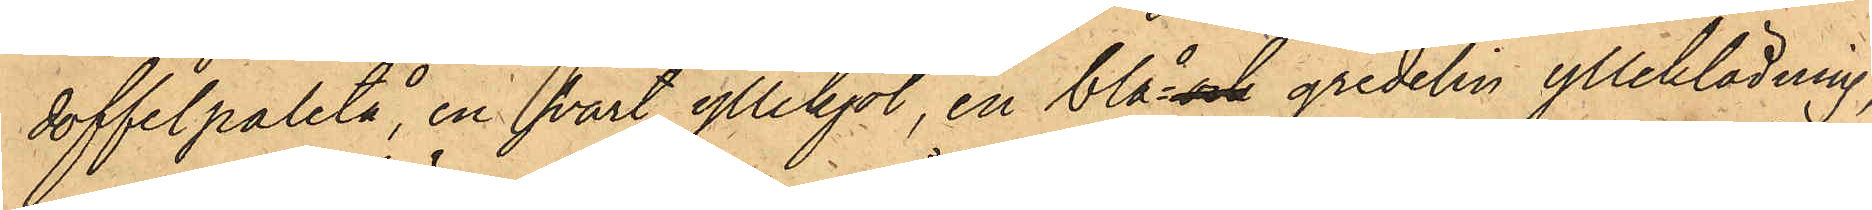doffelpaletå, en svart yllekjol, en blå- och gredelin ylleklädning,
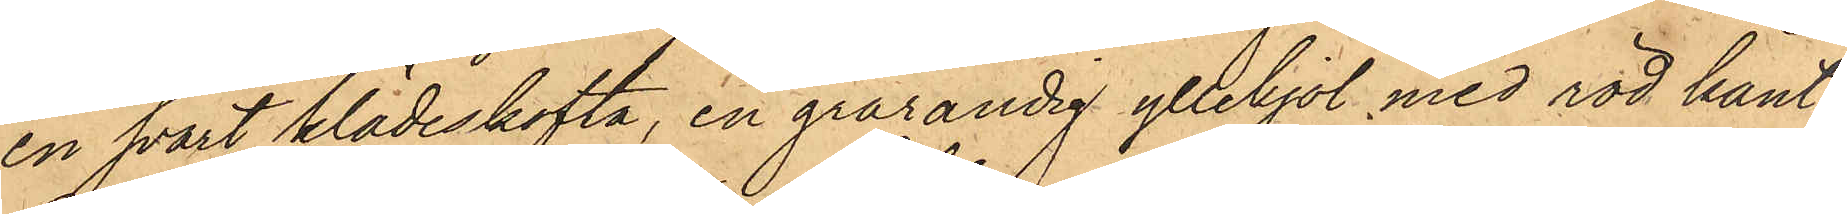en svart klädeskofta, en grårandig yllekjol med röd kant
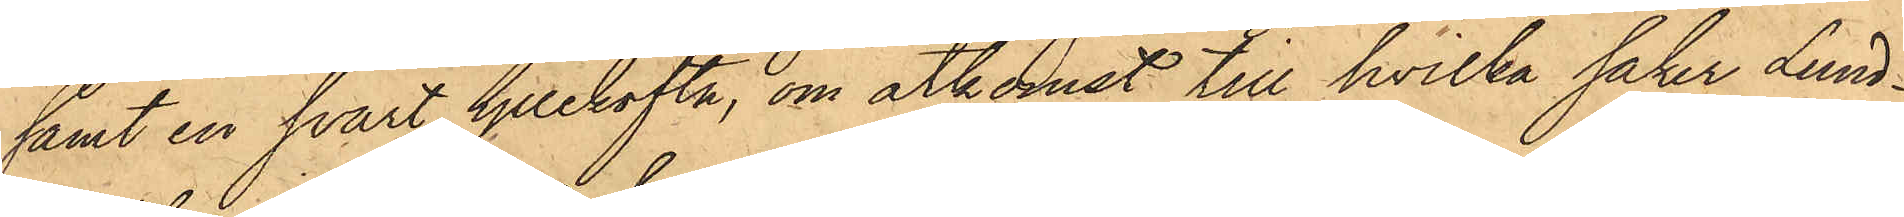samt en svart yllekofta, om åtkomst till hvilka saker Lund¬
